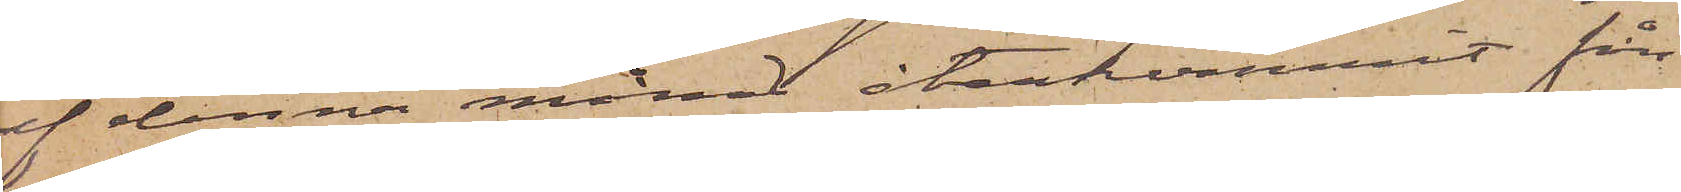af denna månad återkommit från
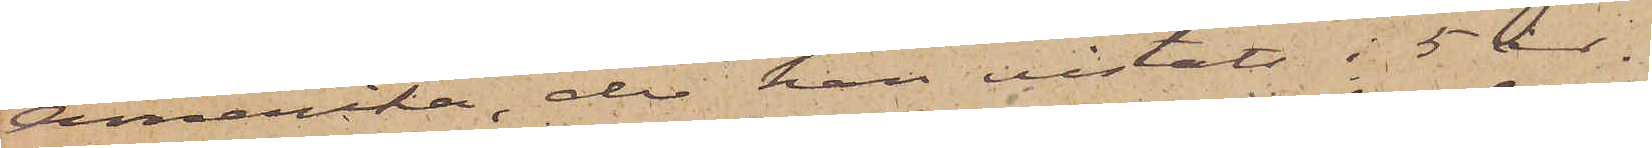Amerika, der han vistats i 5 år.
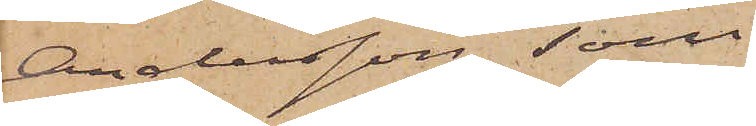Andersson, som
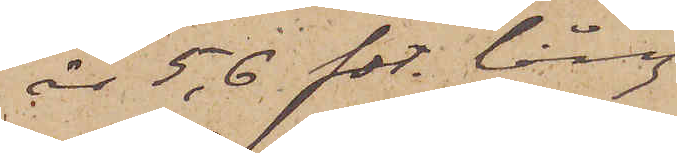är 5,6 fot lång
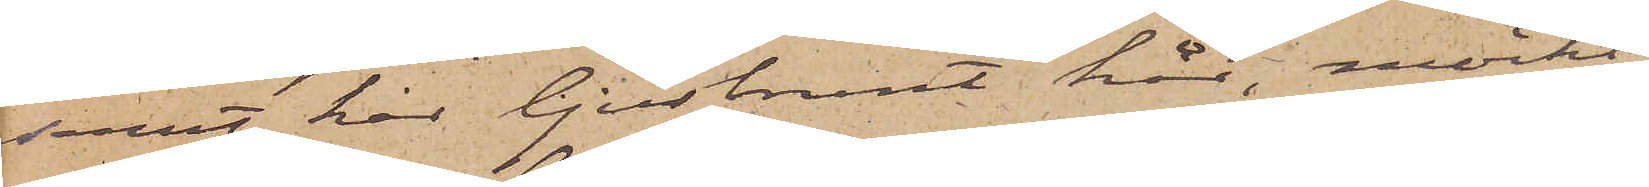samt har ljusbrunt hår, mörkt
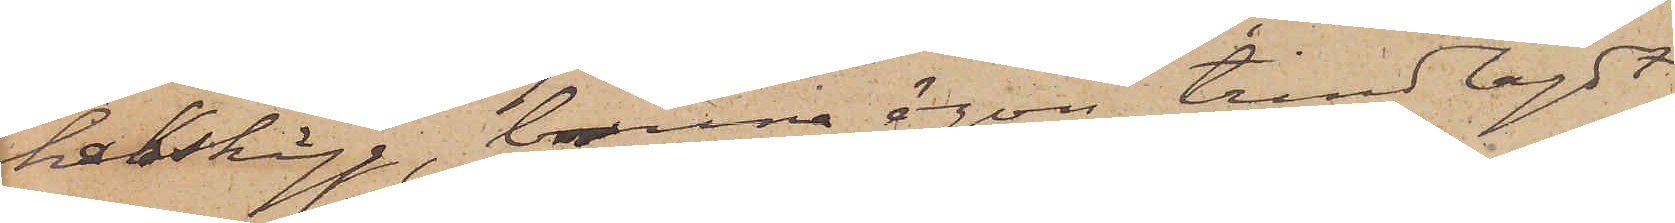hakskägg, bruna ögon, trindlagdt
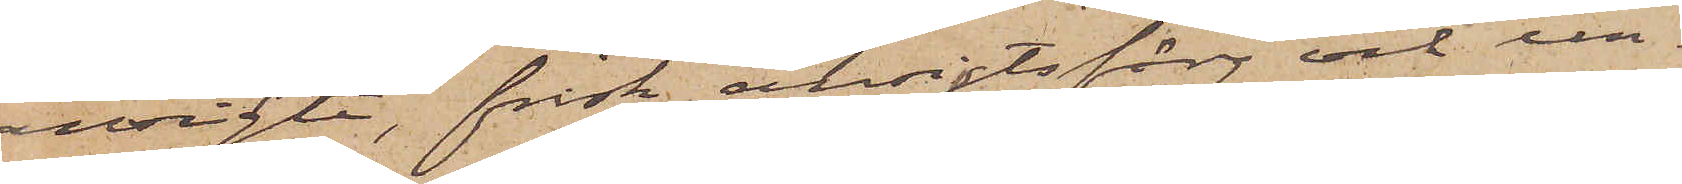ansigte, frisk ansigtsfärg och un¬
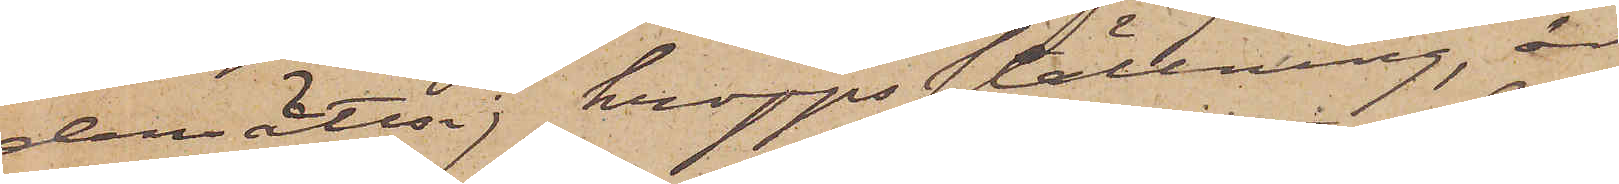dersättsig kroppsställning, är
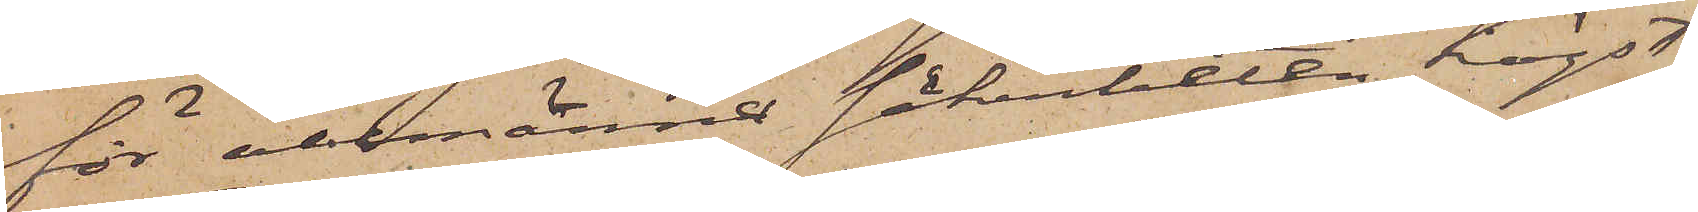för allmänna säkerheten högst
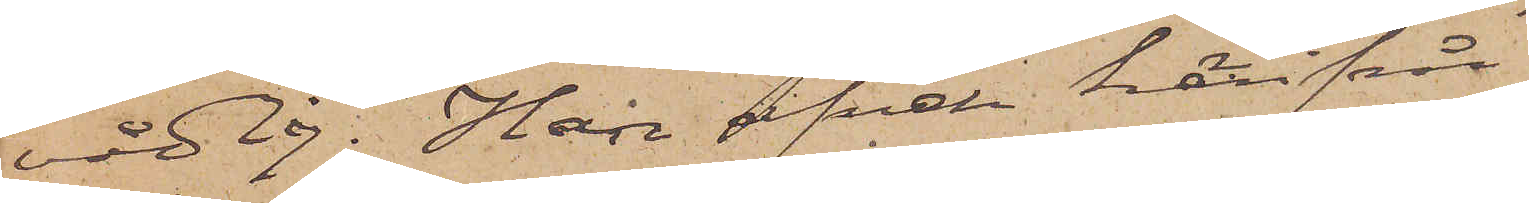vådlig. Han afvek härifrån
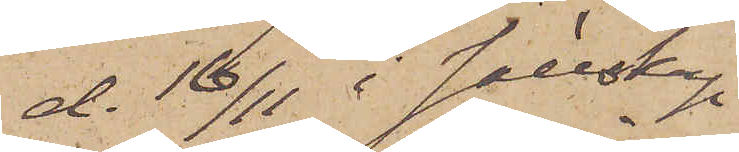d. 16/11 i sällskap
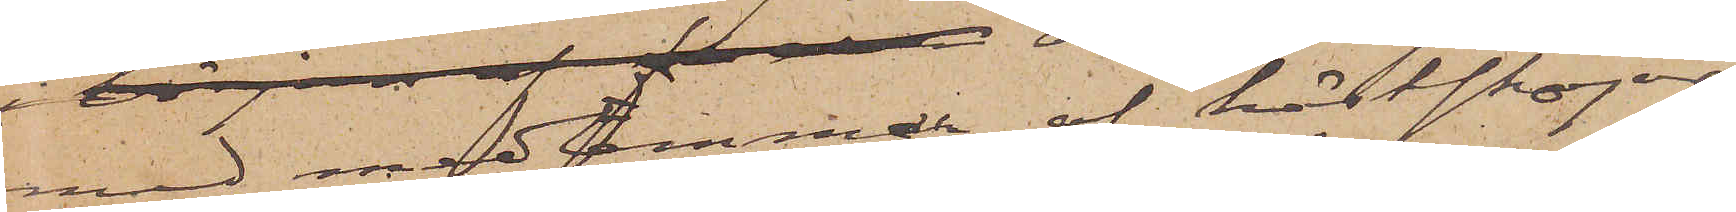med medlemmar af hästskojar¬
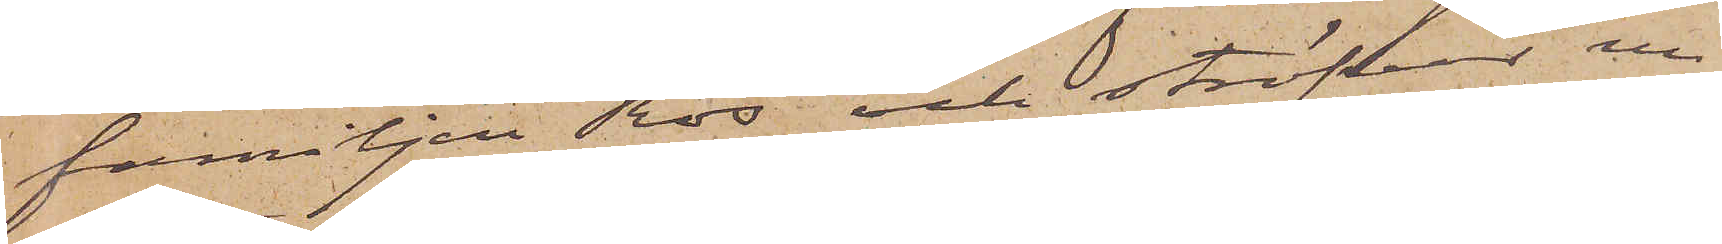familjen Ros och ströfvar nu
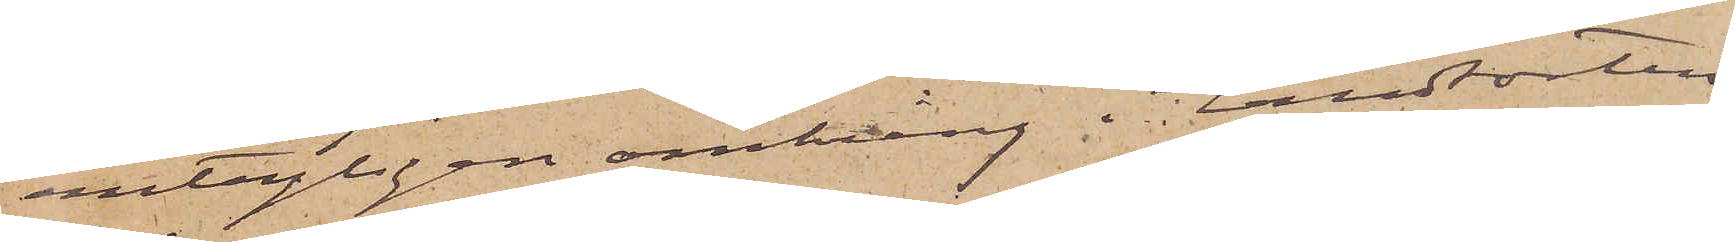antagligen omkring i Landsorten.
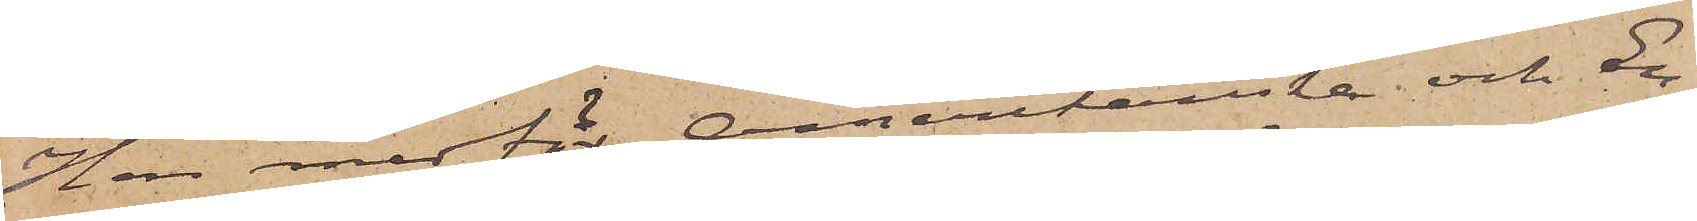Han medför Amerikanska och En¬
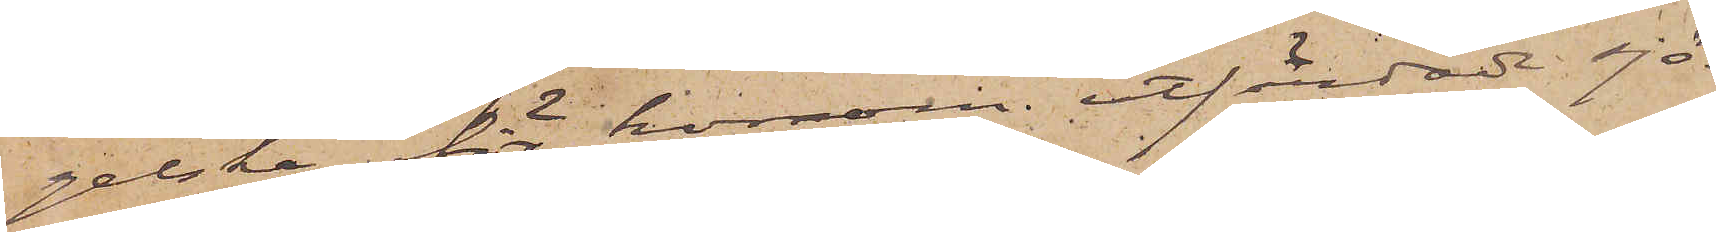gelska för honom utfärdade sjö¬
